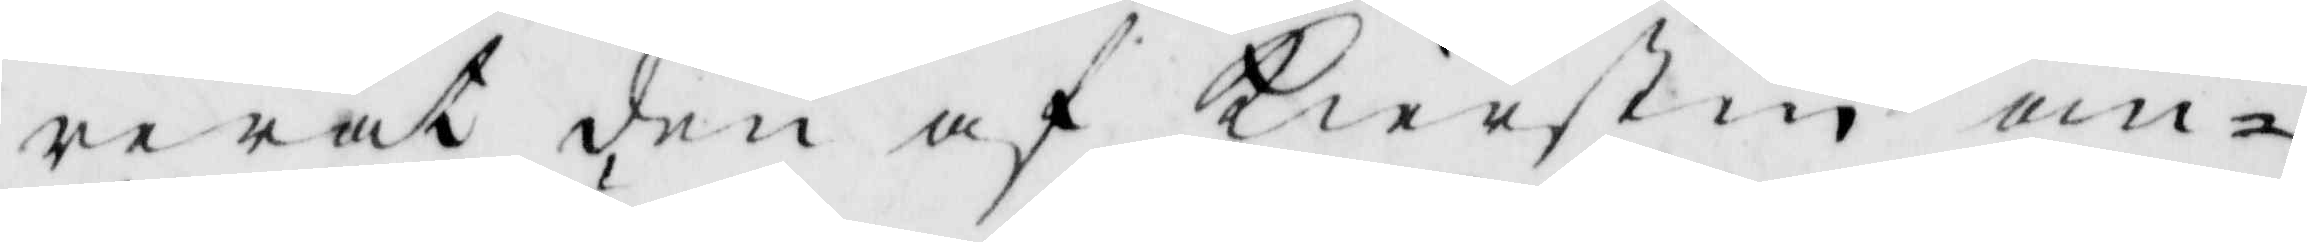rerat den af Kierstin om¬
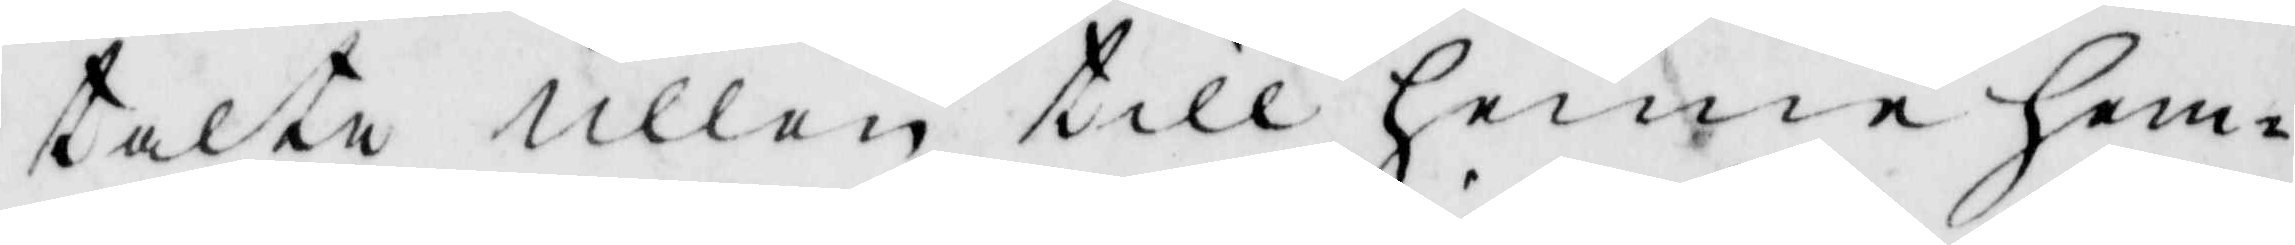talte ullen till henne hem¬
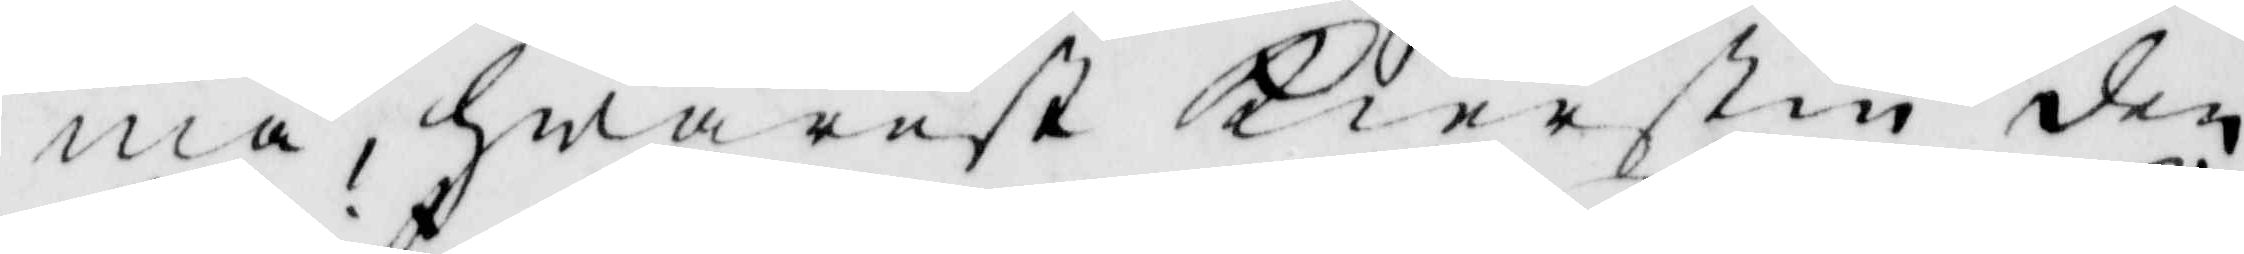ma, hwarset Kierstin den
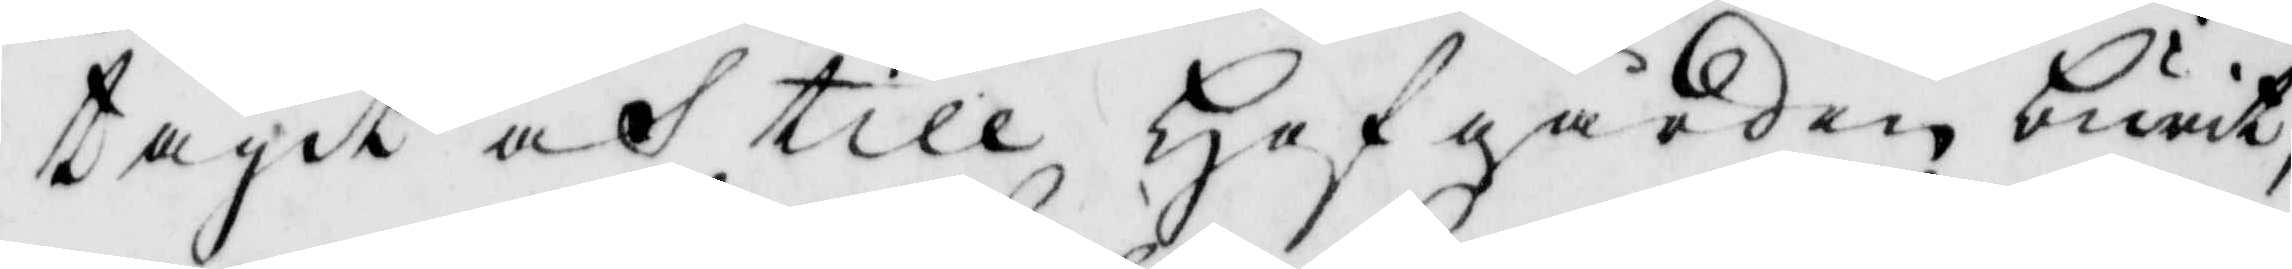tagit och till Hafgården burit
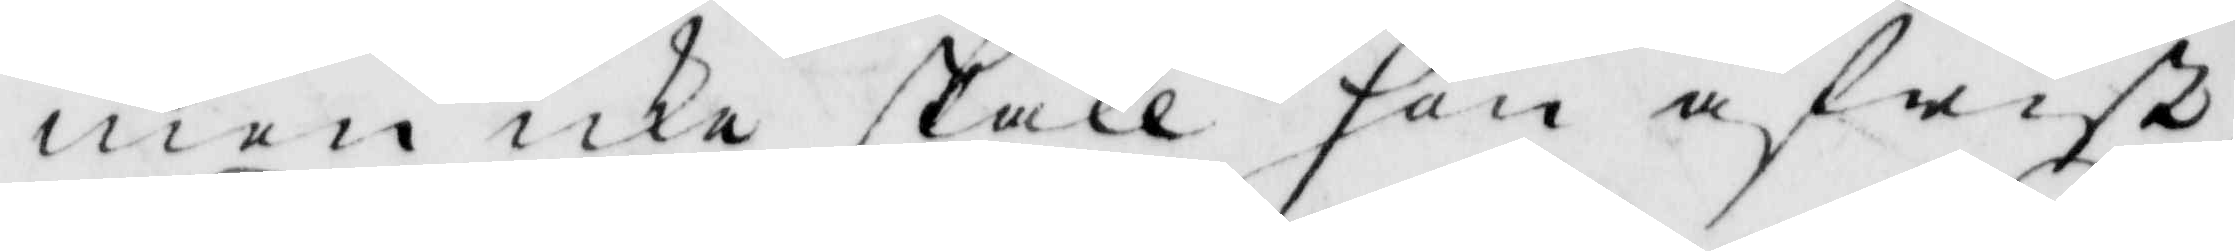men icke skall hon afwist,
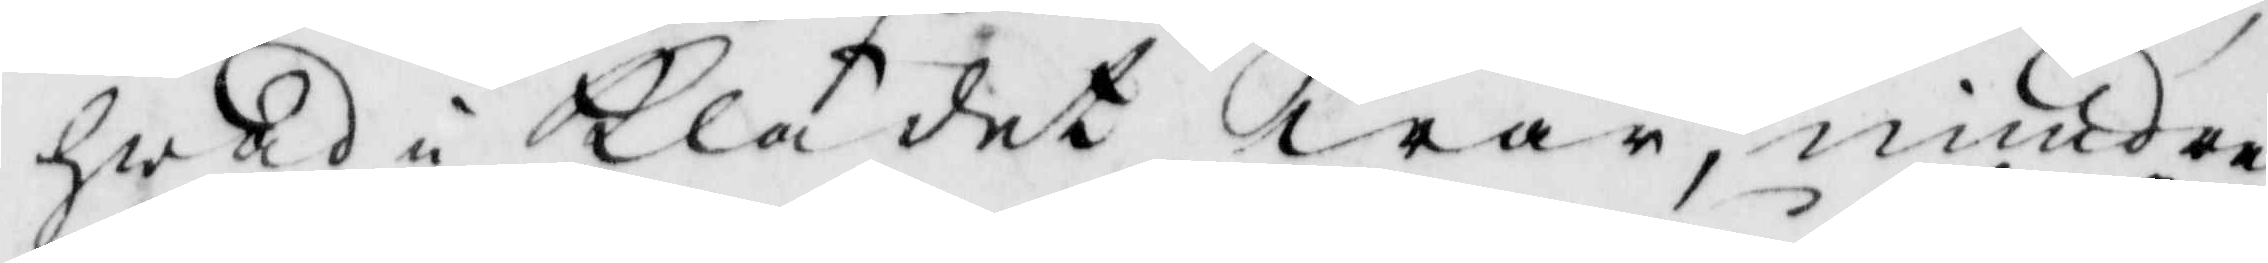hwad i Klädet war, mindre
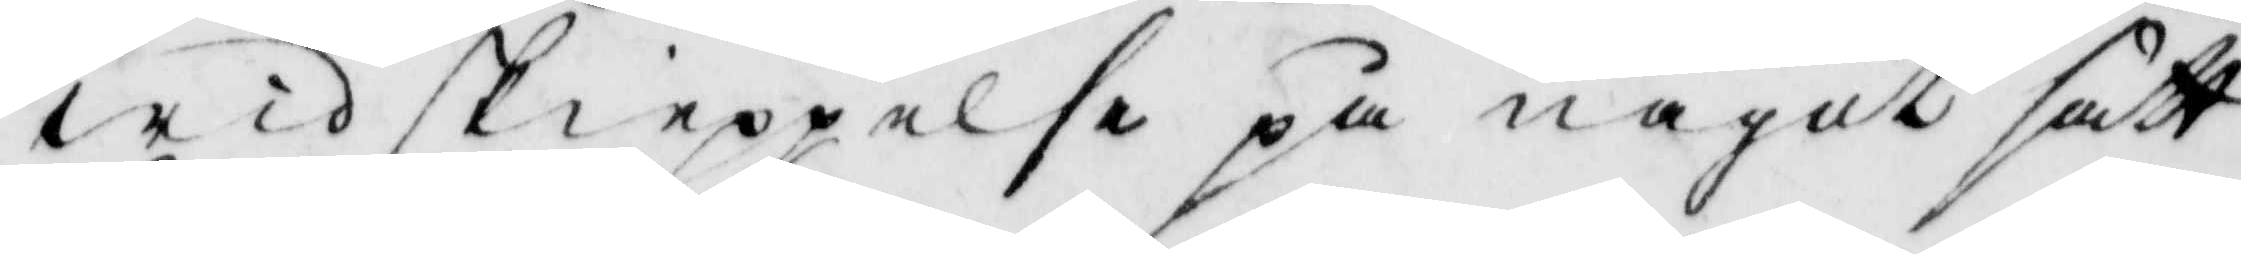wid skieppelse på något sätt
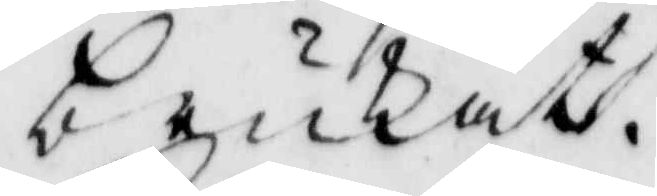brukat.
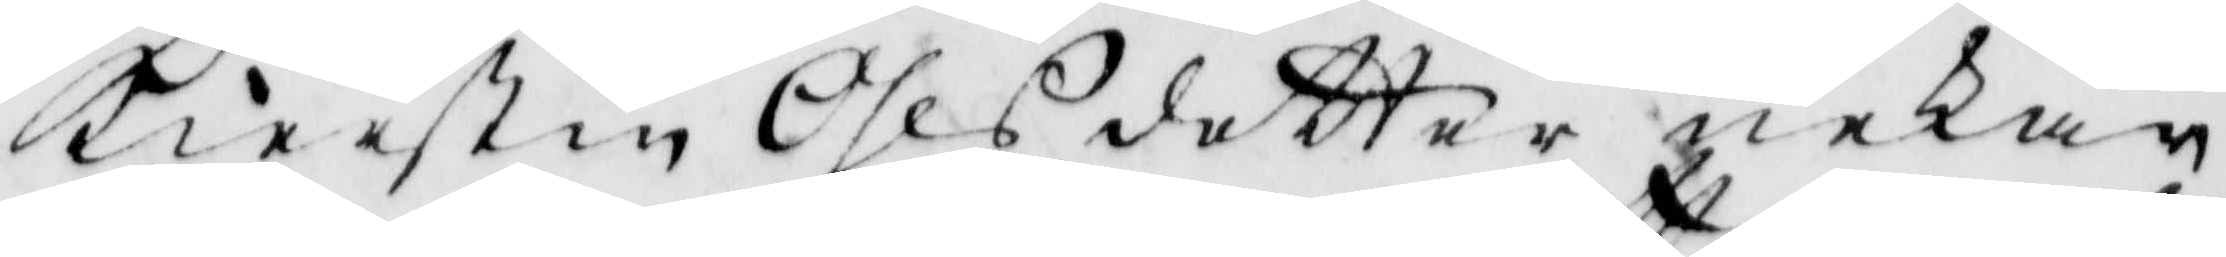Kierstin Ohlsdotter nekade
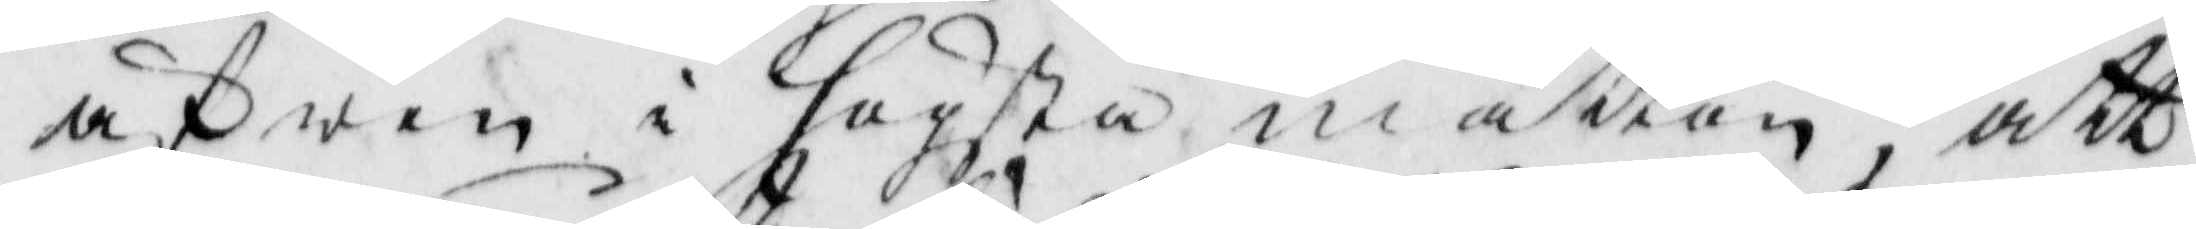äfwen i högsta måttan, att
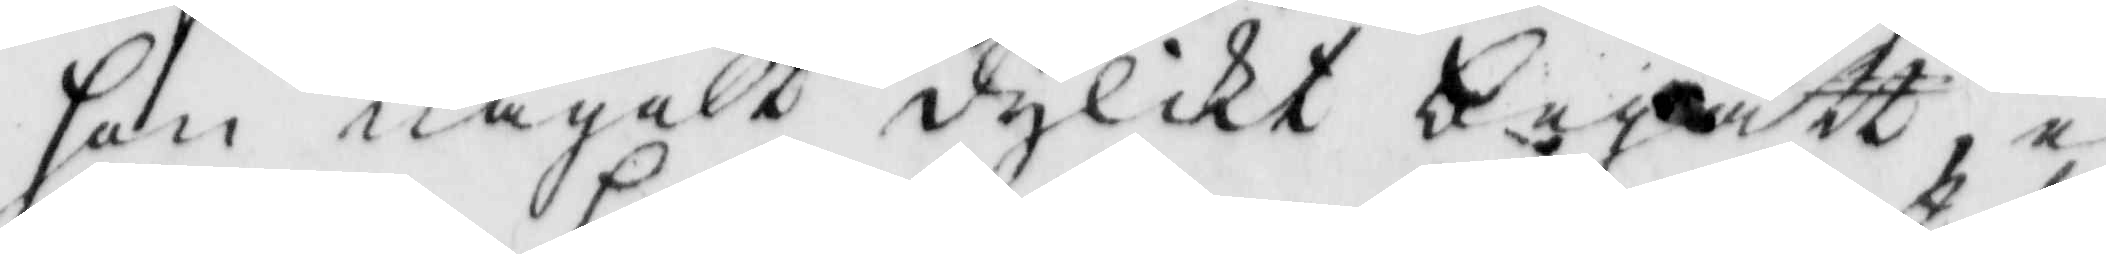hon något dylikt begått ey
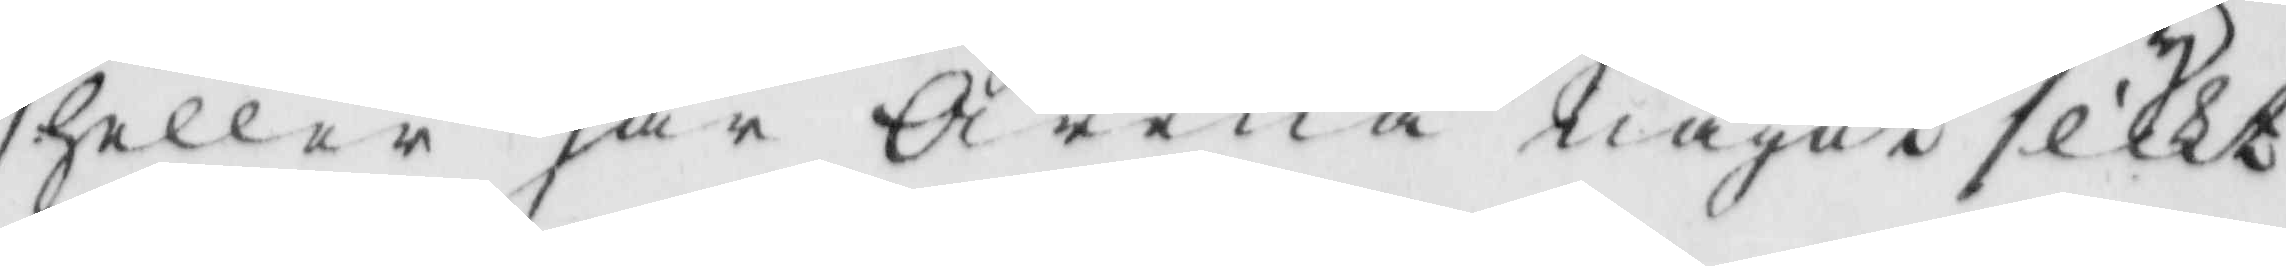heller har Arena något slikt
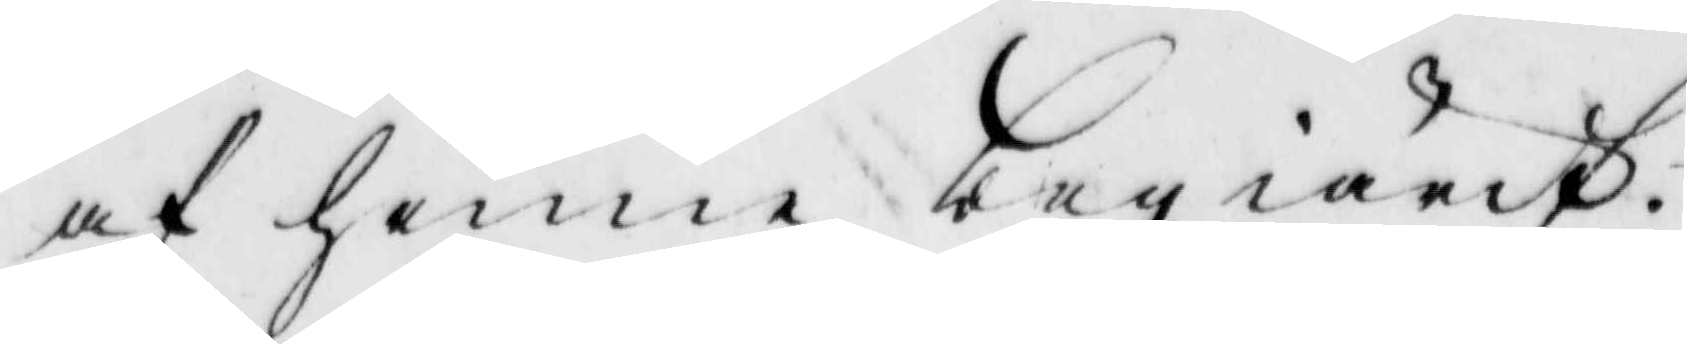af henne begiärt.
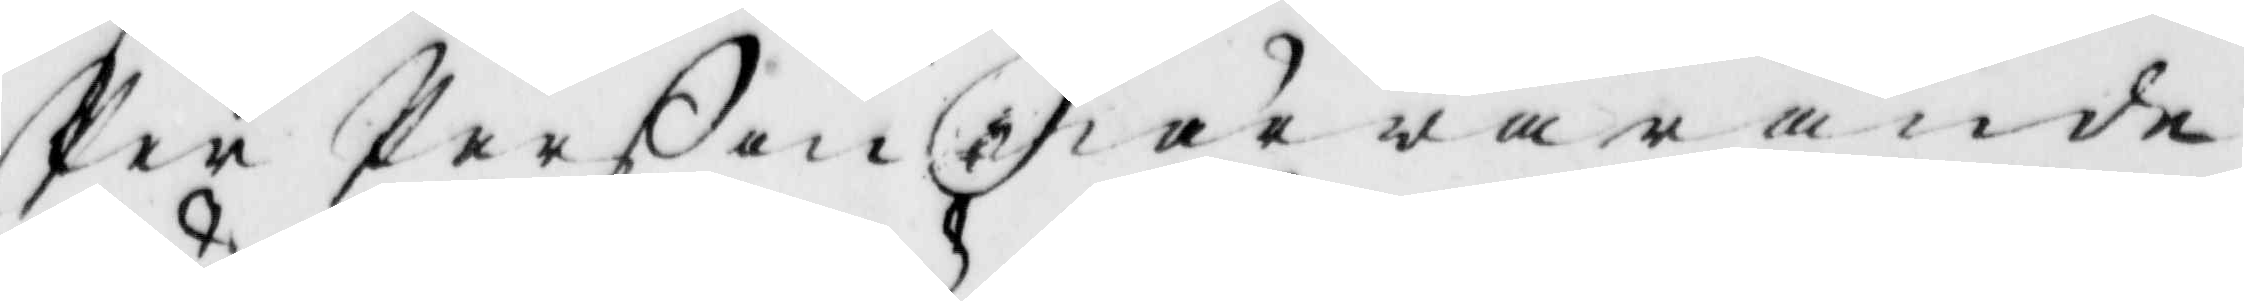Per Perßon närwarande
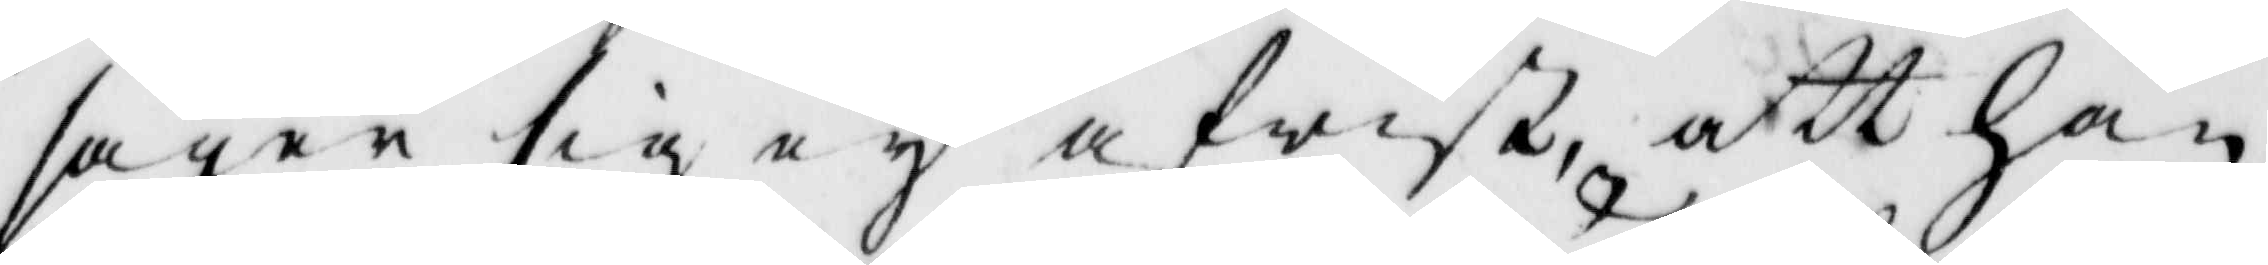säger sig ey afwist att han
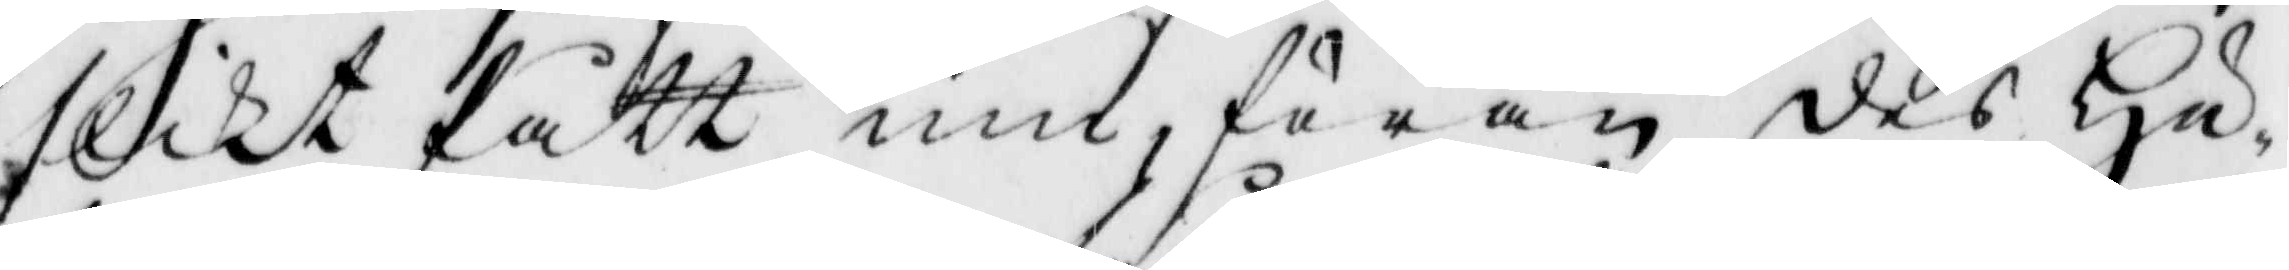slikt fått inn, förän des Hu¬
